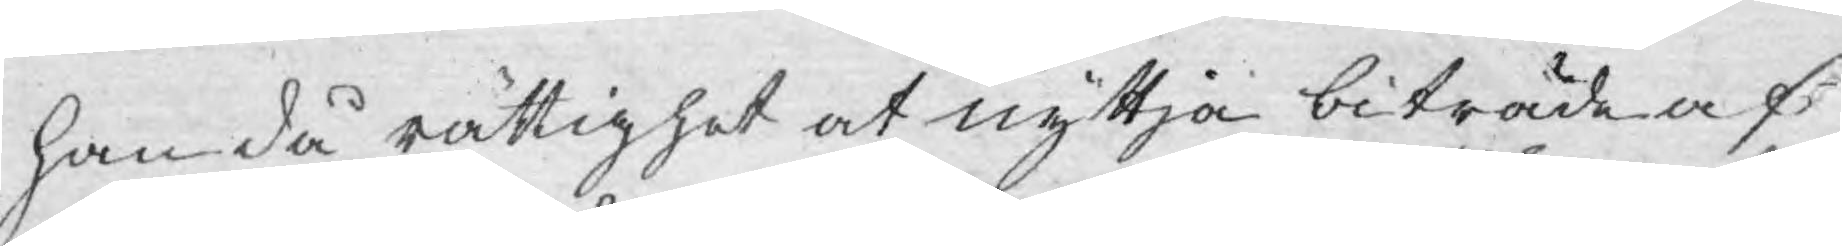han då rättighet at nyttja biträde af
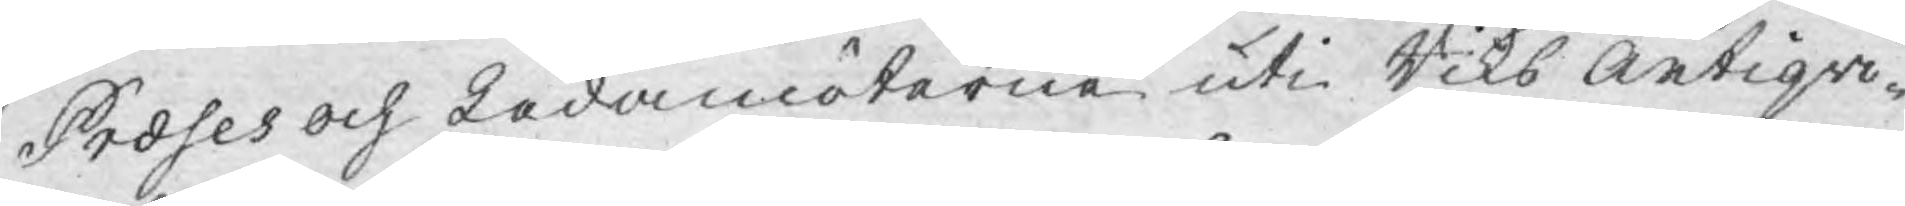Preses och Ledamöterne uti Riks Antiqvi¬
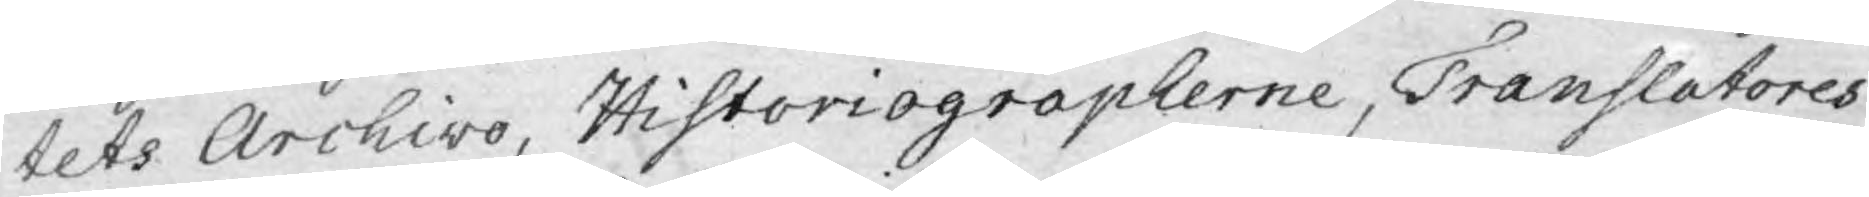tets Archivo, Historiographerne, Translatores
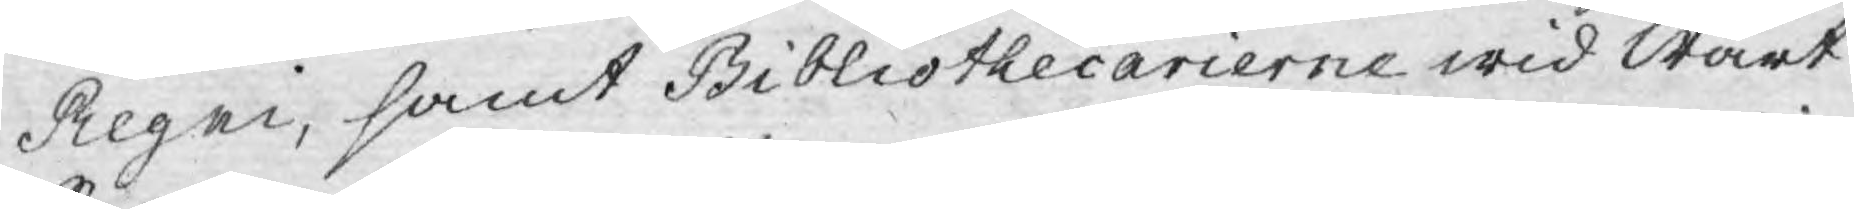Regni, samt Bibliothecarierne wid Wårt
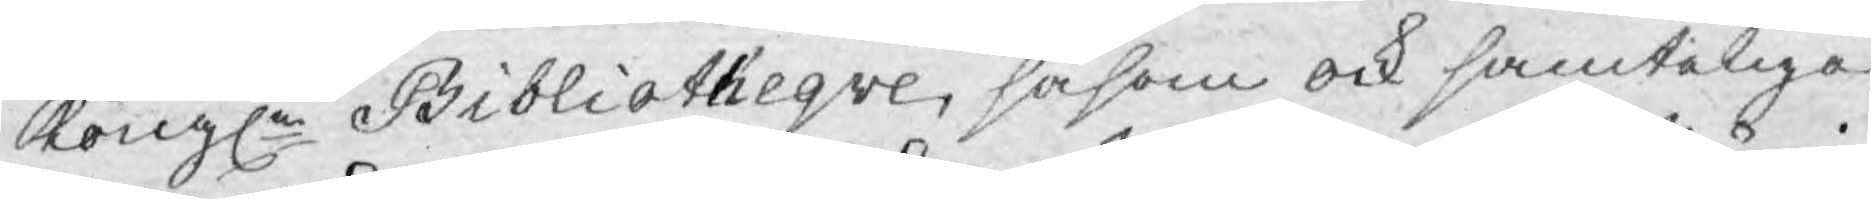Kongle Bibliotheqve, såsom ock samteliga
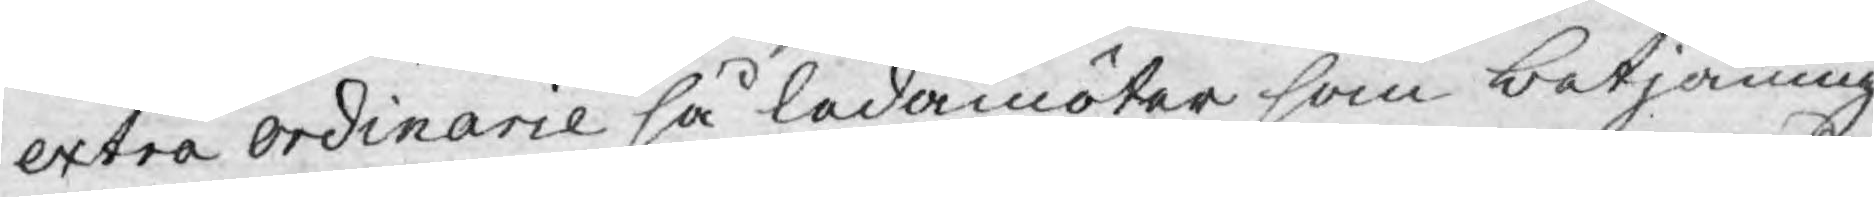extra ordinarie så ledamöter som betjäning
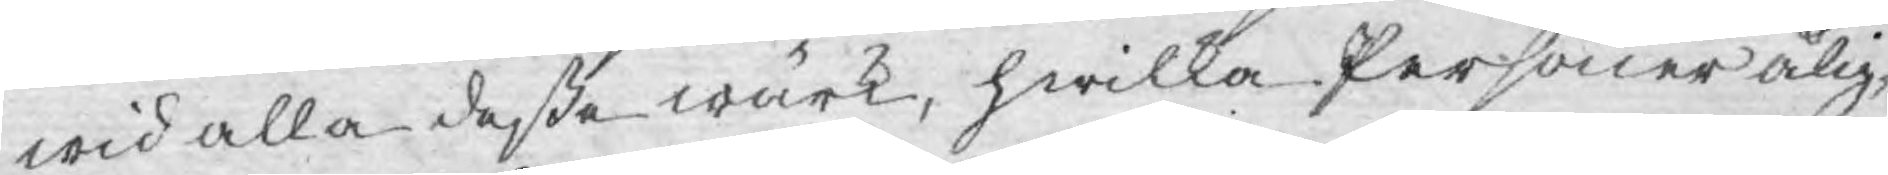wid alla deße wärk, hwilka Personer ålig¬
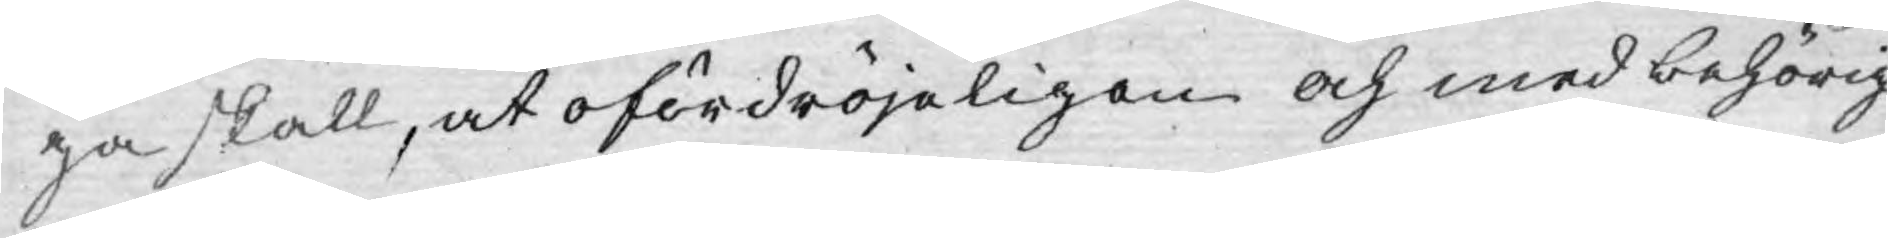ga skall, at ofördröjeligen och med behörig
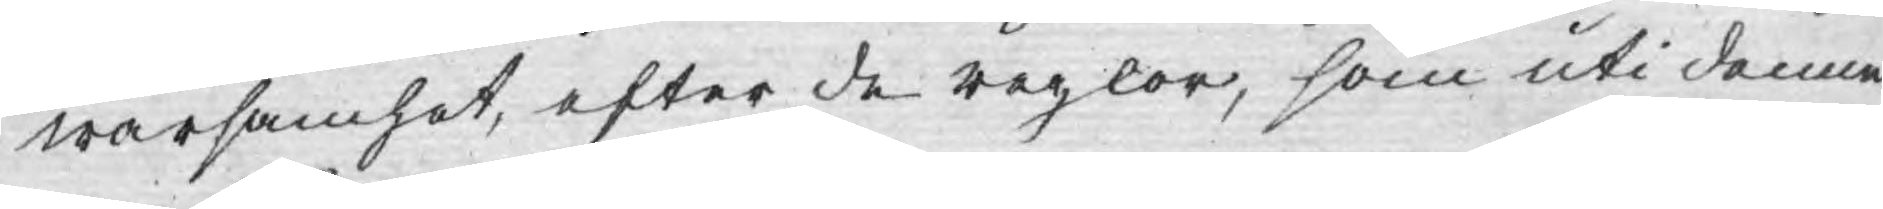warsamhet, efter de regler, som uti denne
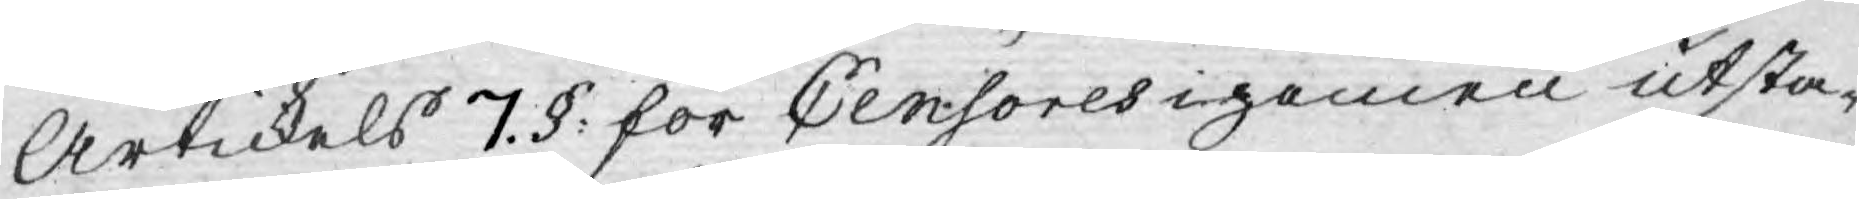Artickels 7. §: för Censores igemen utsta¬
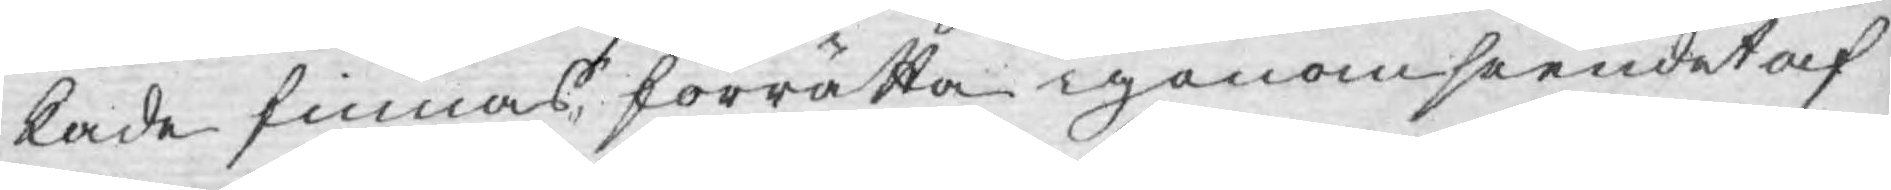kade finnas, förrätta igenomseendet af
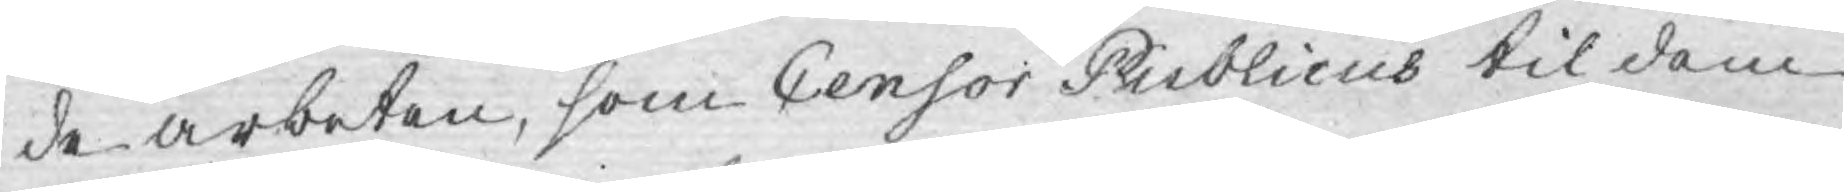de arbeten, som Censor Publicus til dem
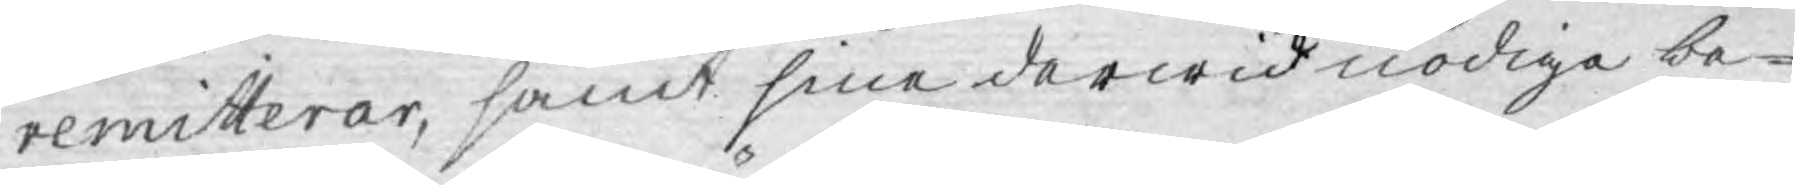remitterar, samt sine derwid nödige be¬
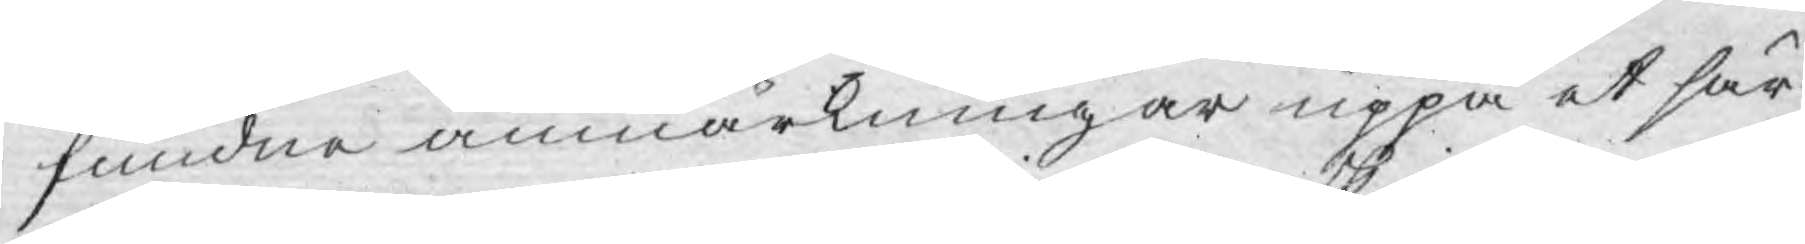fundne anmärkningar uppå et sär¬
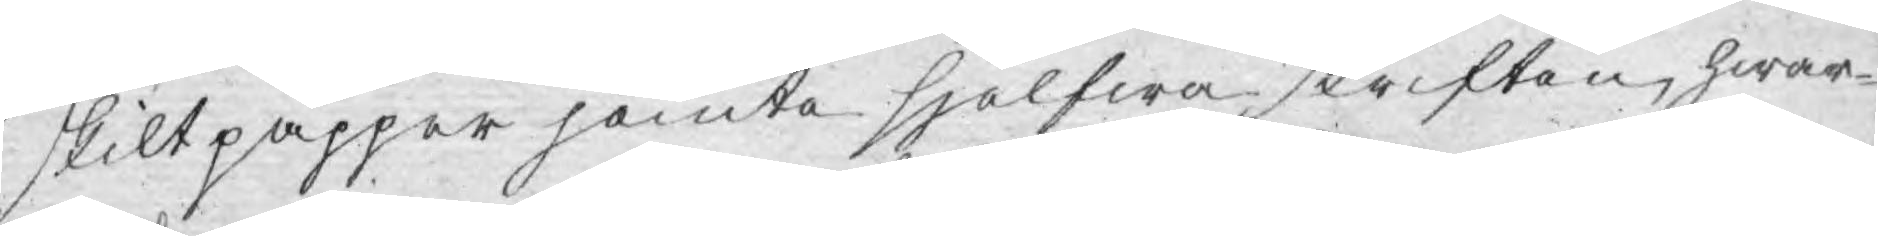skilt papper jemte sjelfwa skriften, hwar¬
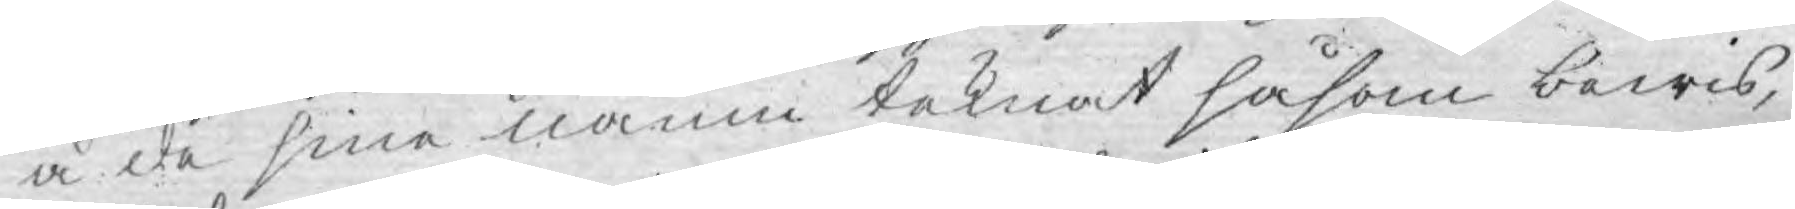å de sina namn teknat såsom bewis,
